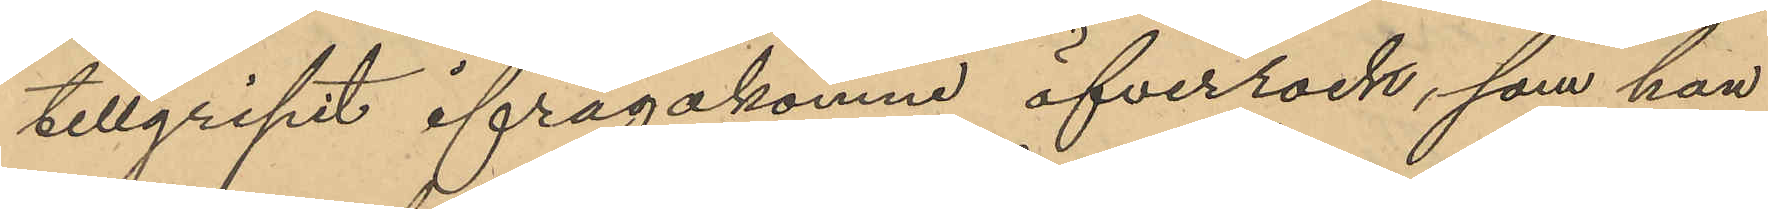tillgripit ifrågakomne öfverrock, som han
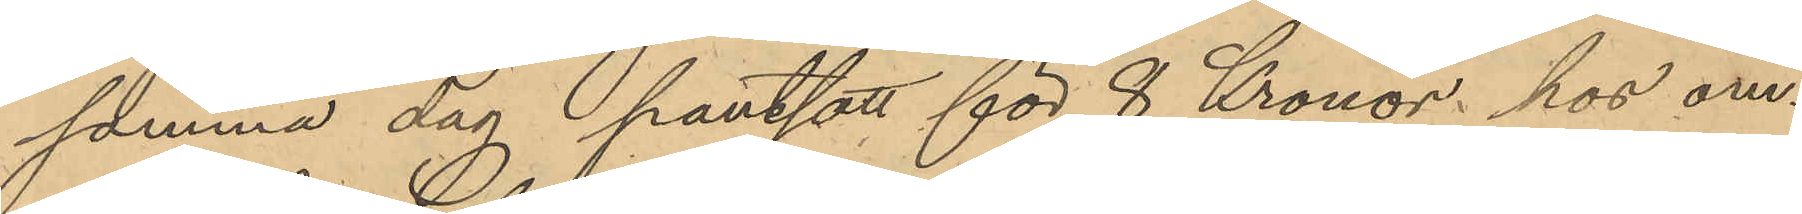samma dag pantsatt för 8 Kronor hos om¬
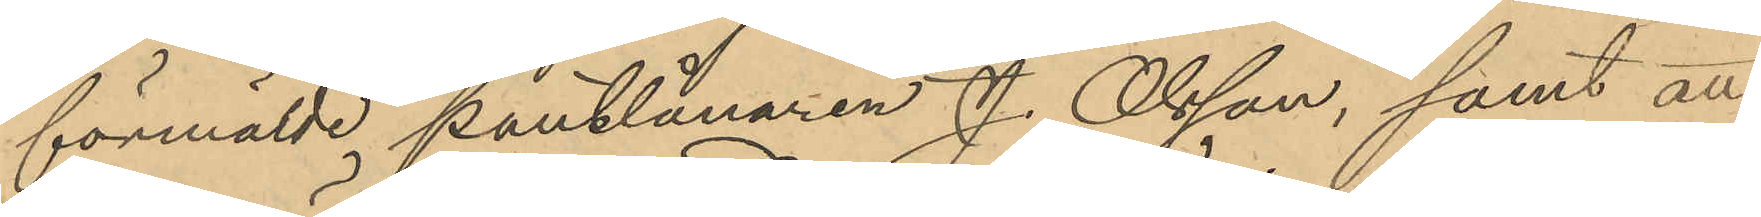förmälde pantlånaren J. Olsson, samt att
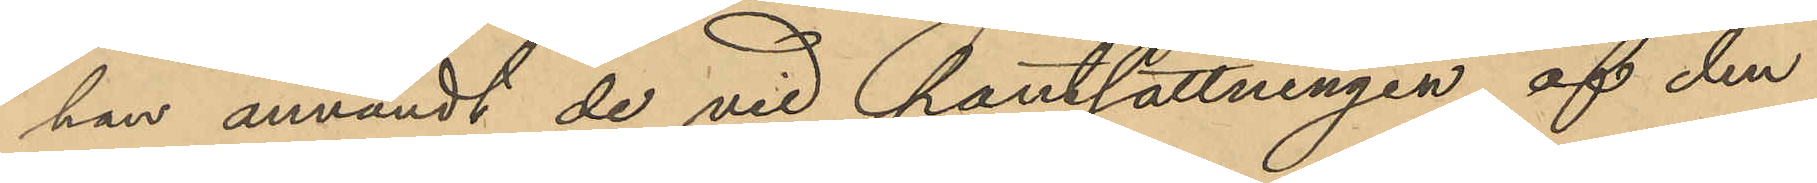han användt de vid pantsättningen af den
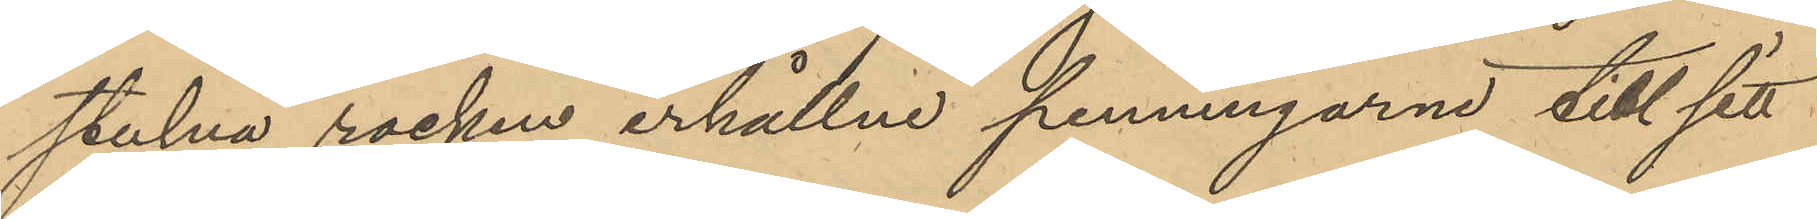stulna rocken erhållne penningarne till sitt
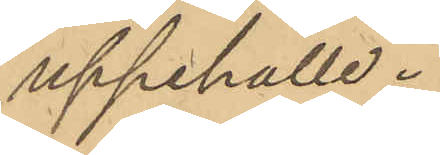uppehälle.
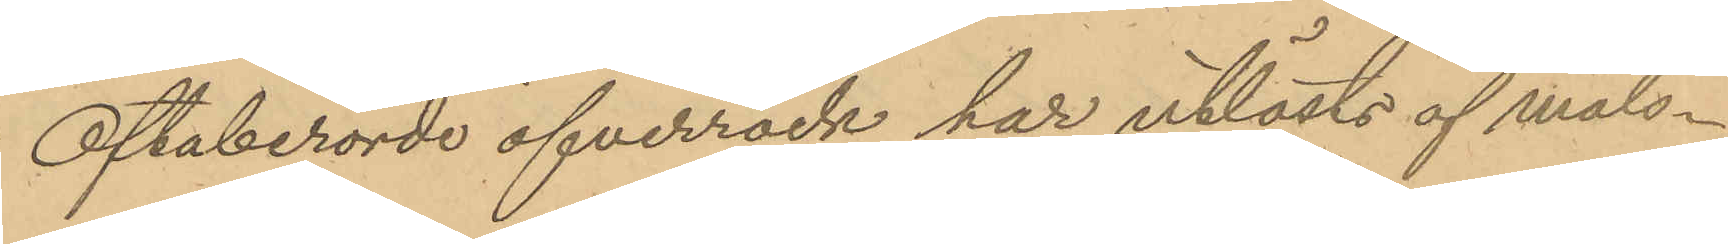Oftaberörde öfverrock har utlösts af måls¬
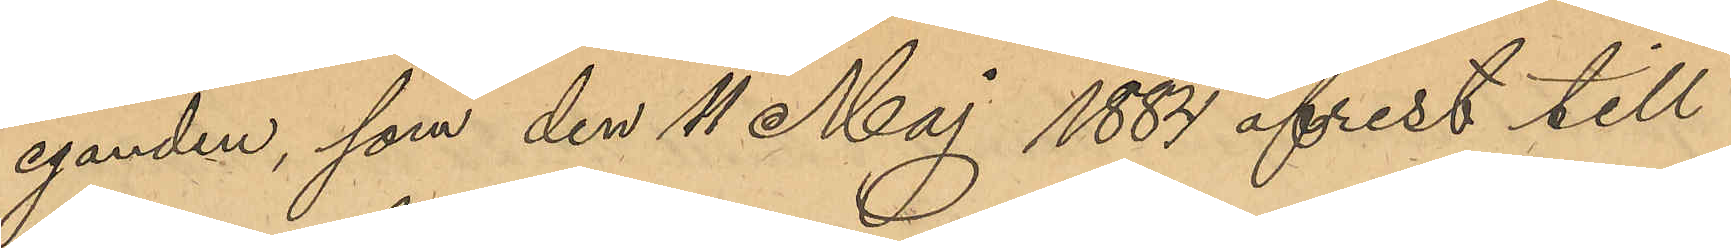eganden, som den 11 Maj 1884 afrest till
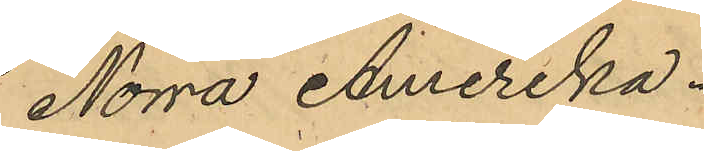Norra Amerika.
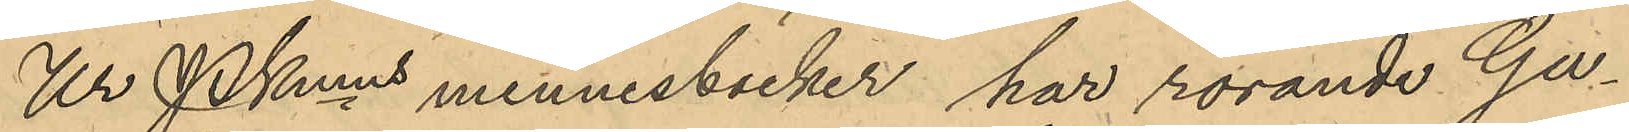Ur PKmns minnesböcker har rörande Gu¬
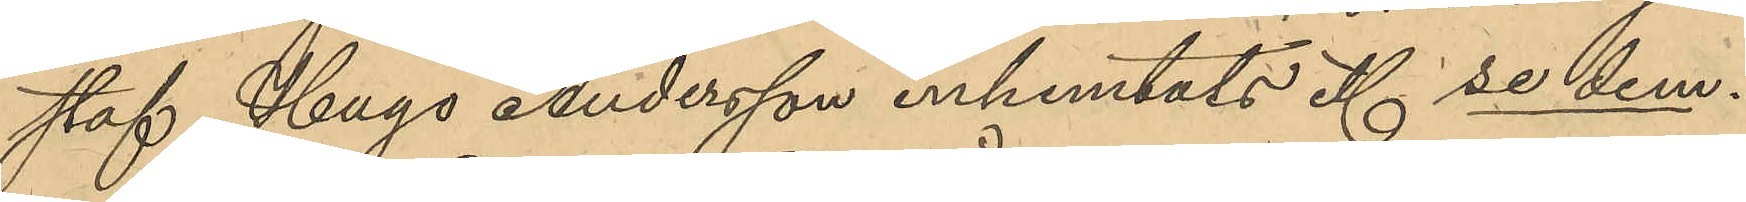staf Hugo Andersson inhemtats et. se dem.
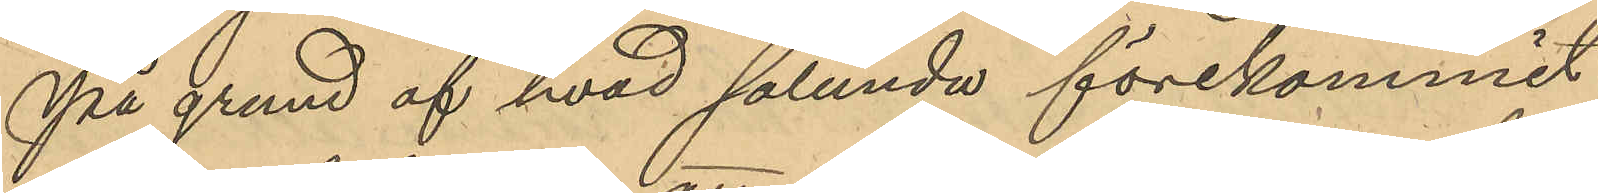På grund af hvad sålunda förekommit
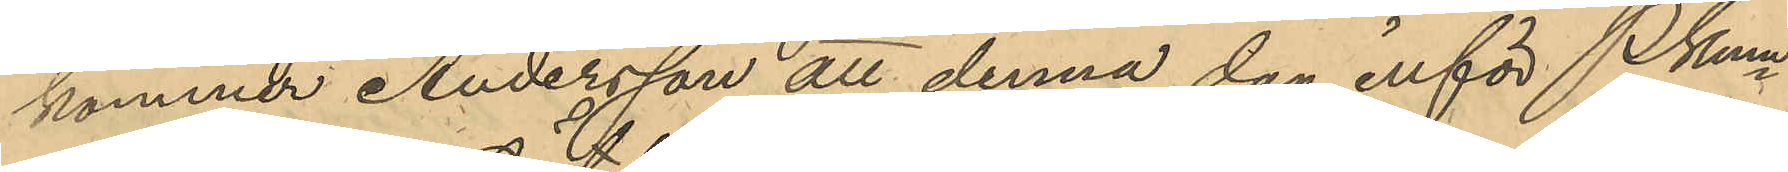kommer Andersson att denna dag inför Pkmn
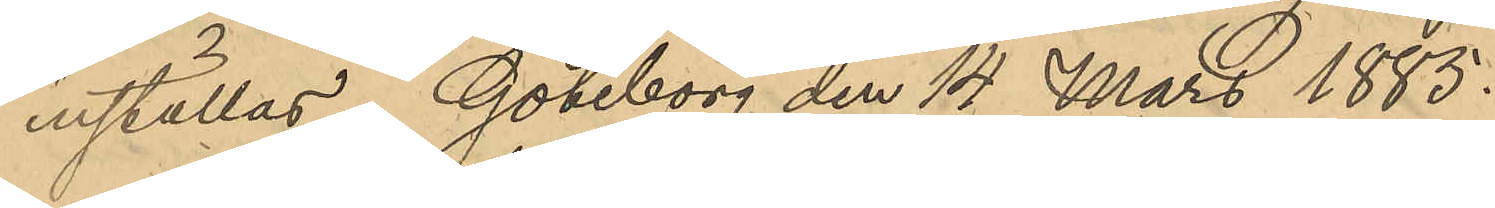inställas. Göteborg den 14 Mars 1885.
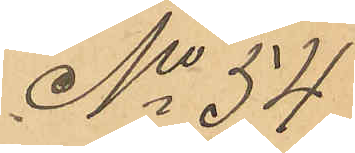No 54
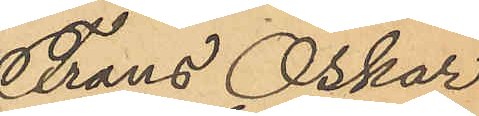Frans Oskar
